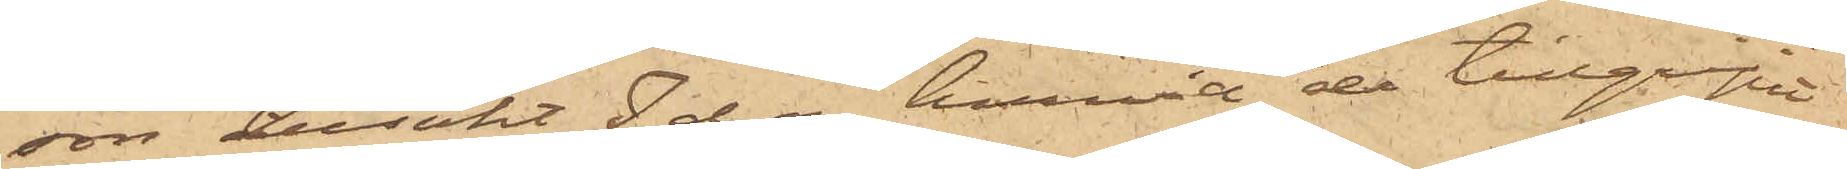son besökt Ida, hvarvid de tillgripit
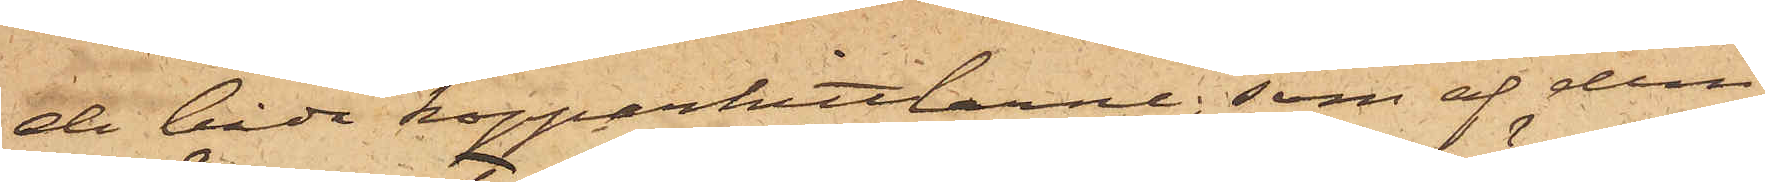de båda kopparkittlarne, som af dem
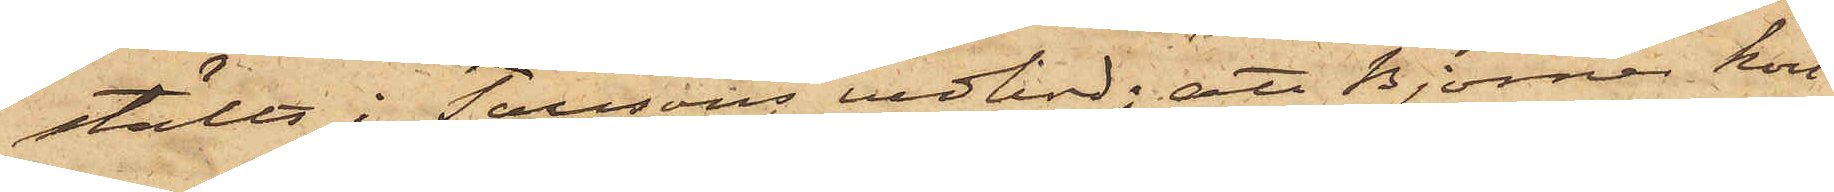ställts i Taussons vedbod; att Björner kort
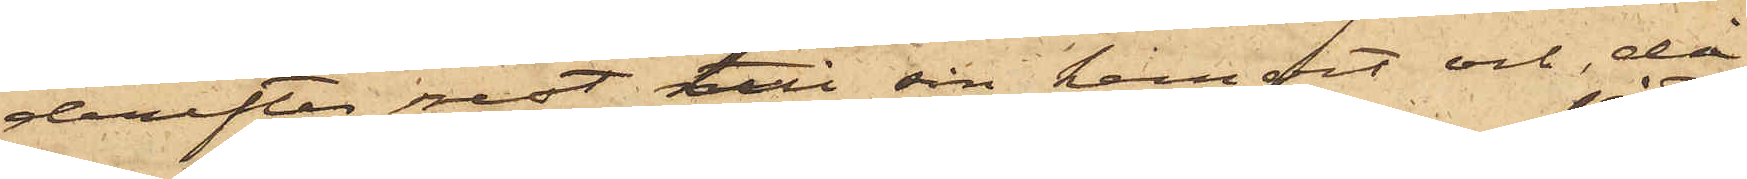derefter rest till sin hemvist och då
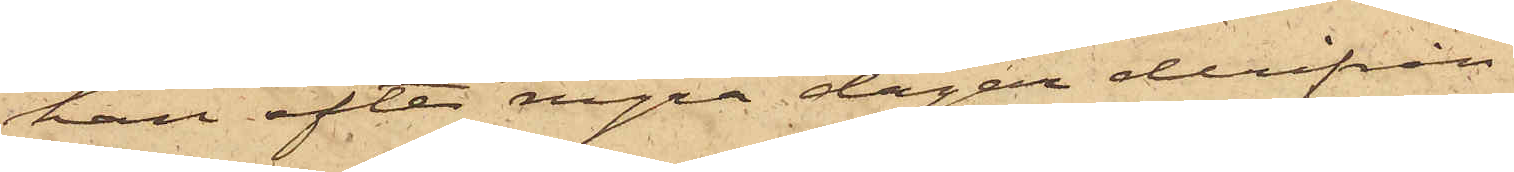han efter några dagar derifrån
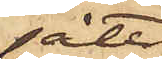åter¬
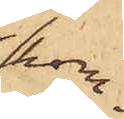kom¬
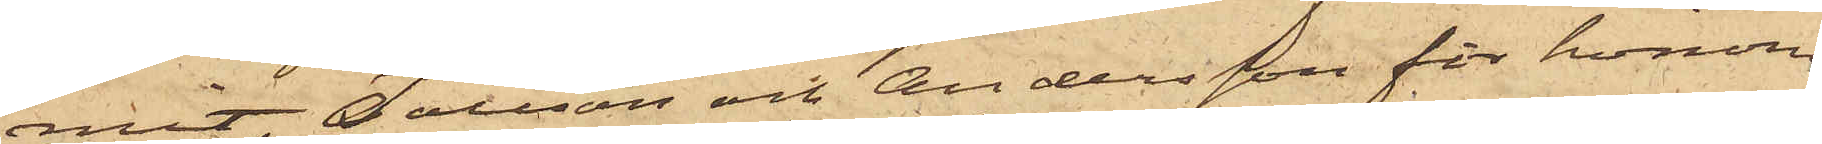mit, Tausson och Andersson för honom
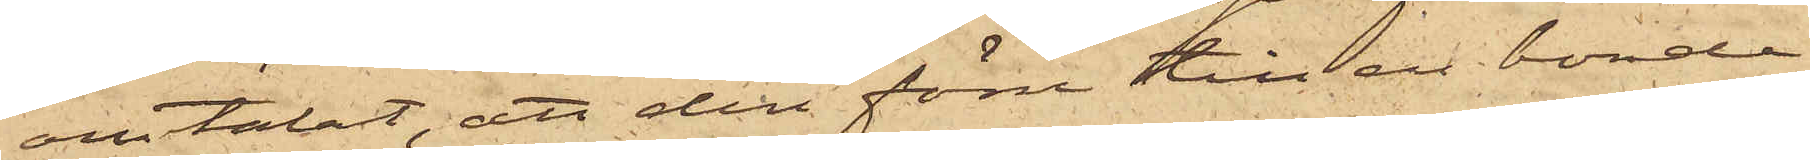omtalat, att den förre till en bonde
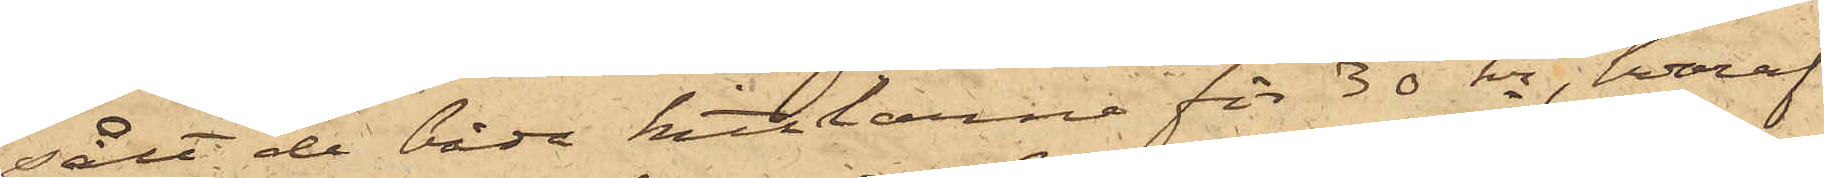sålt de båda kittlarne för 30 kr, hvaraf
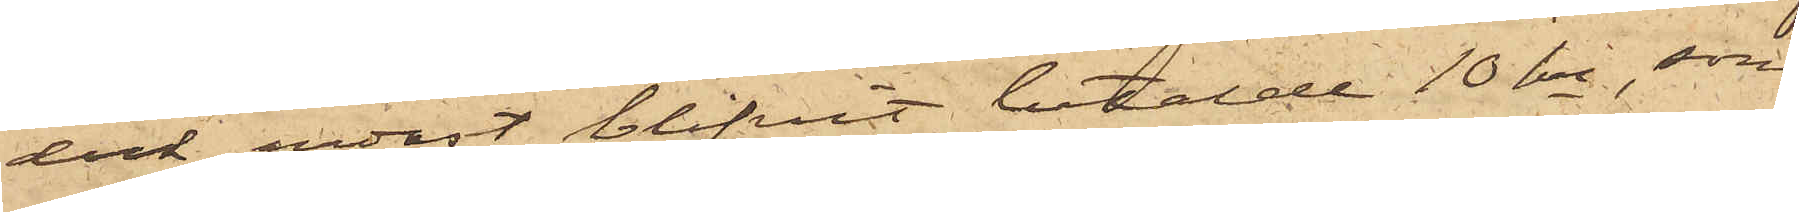dock endast blifvit betaldt 10 kr, som
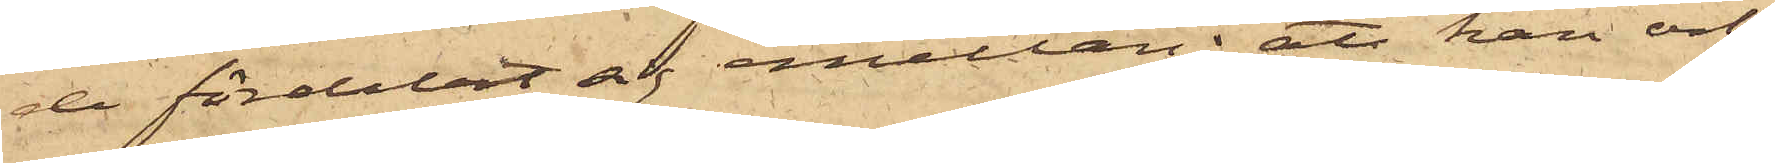de fördelat sig emellan; att han och
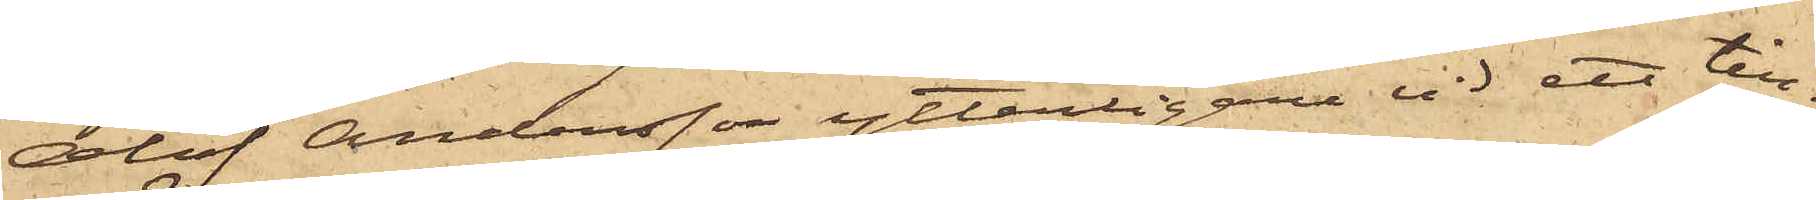Olof Andersson ytterligare vid ett till¬
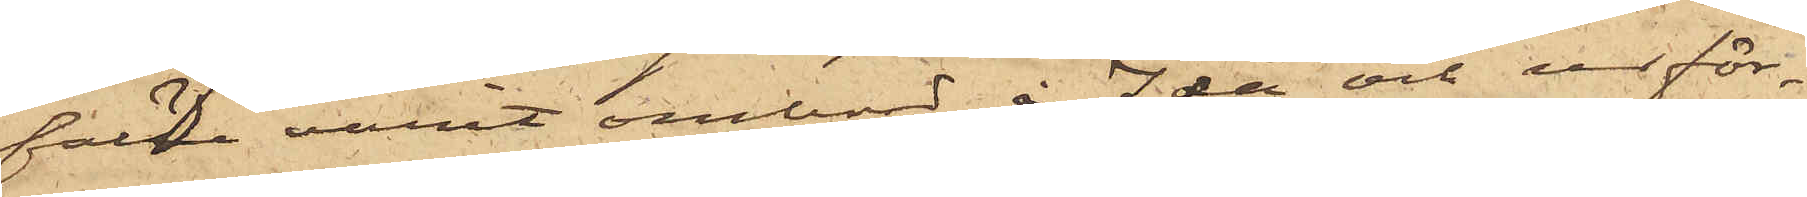fälle varit ombord å Ida och ur för¬
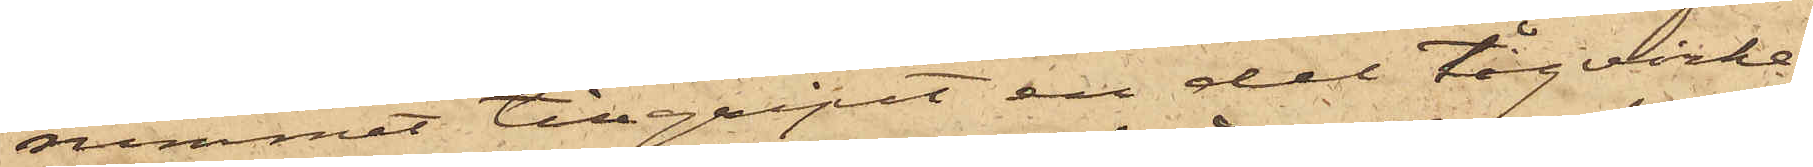rummet tillgripit en del tågvirke,
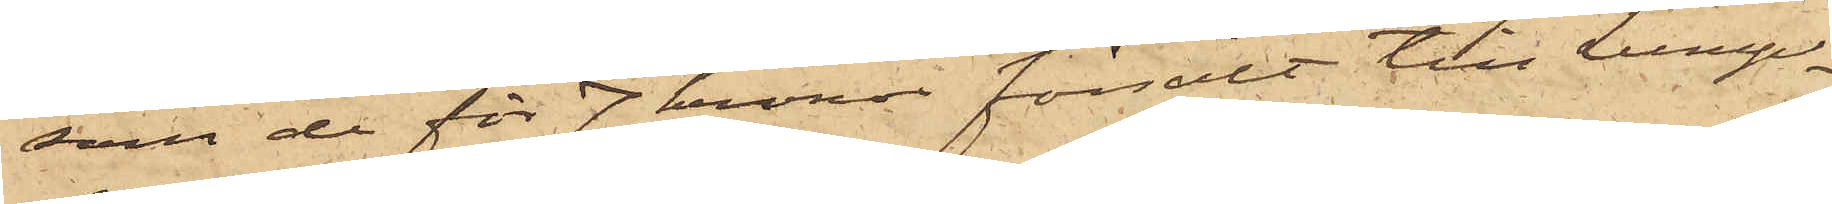som de för 7 kronor försålt till Lump¬
